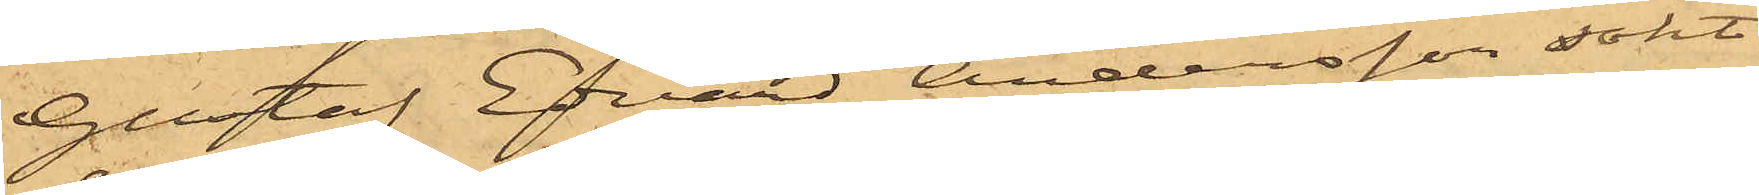Gustaf Edvard Andersson sökt
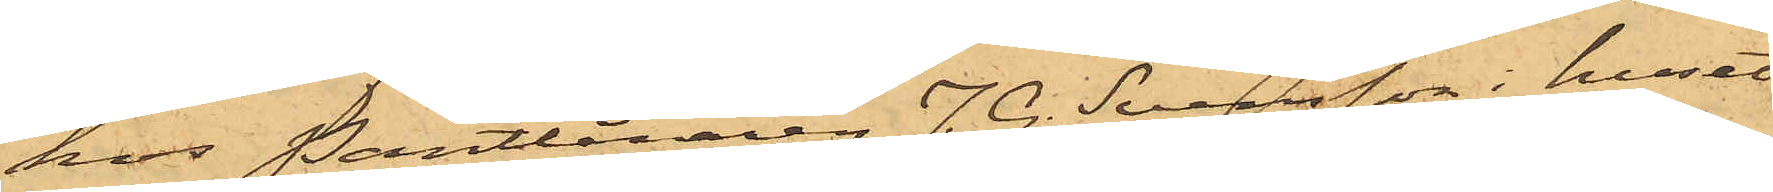hos Pantlånaren J. G. Svensson i huset
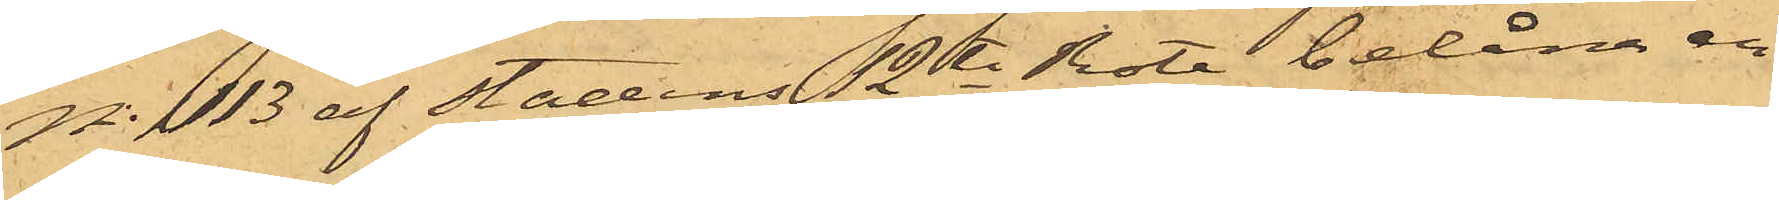No 113 af Stadens 12te Rote belåna en
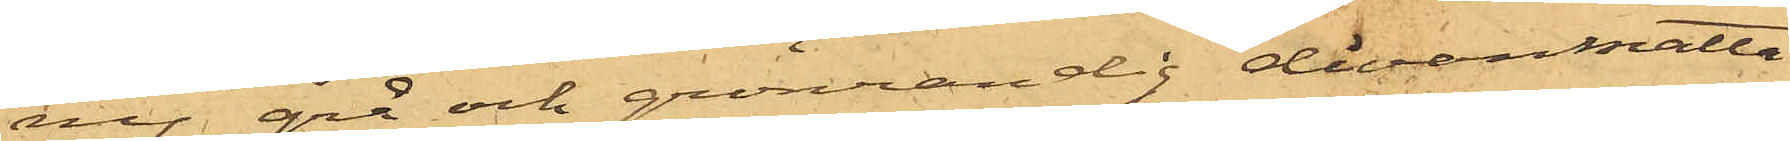ny grå och grönrandig divanmatta
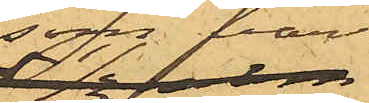som var
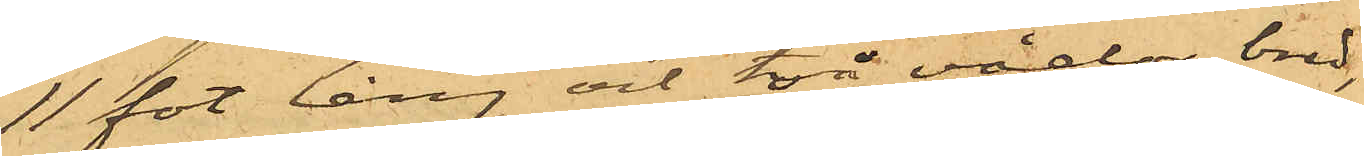11 fot lång och två vådor bred,
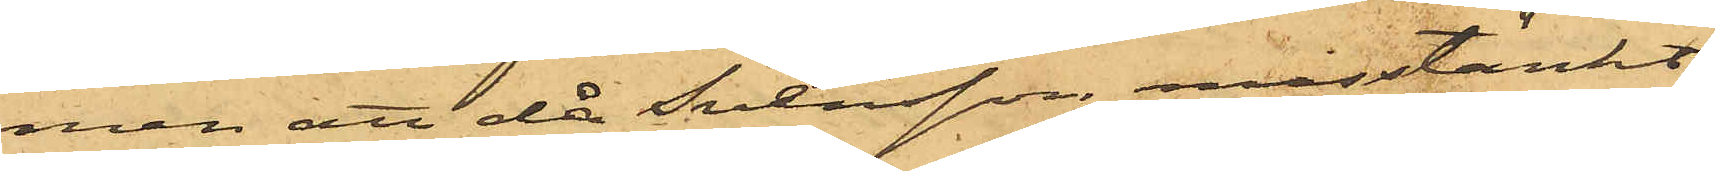men att då Svensson misstänkt
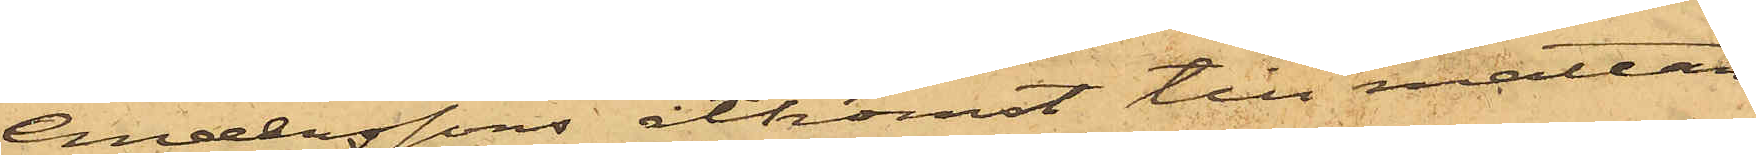Anderssons åtkomst till mattan
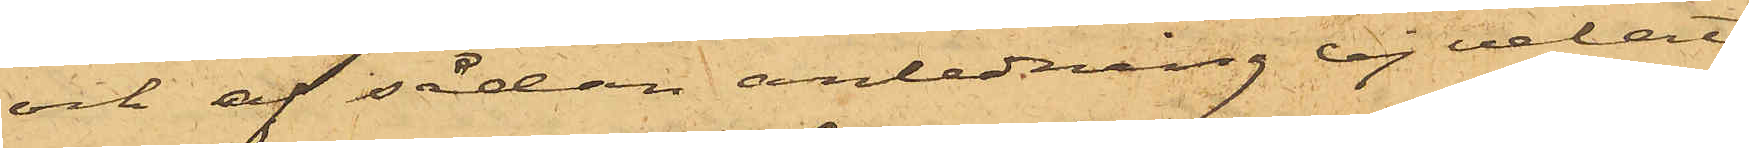och af sådan anledning ej velat
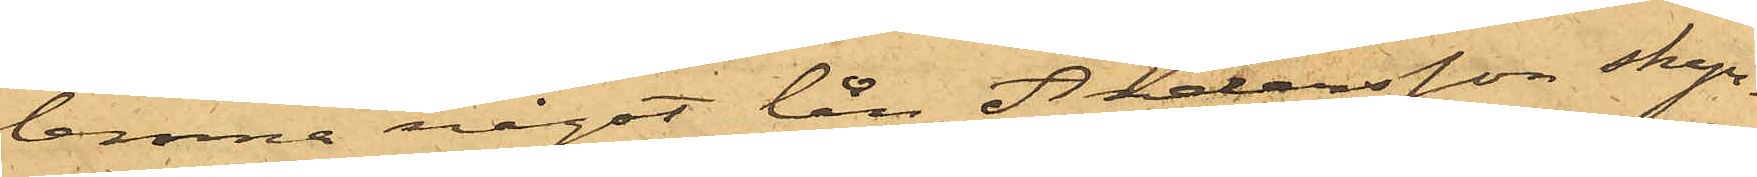lemna något lån, Andersson skyn¬
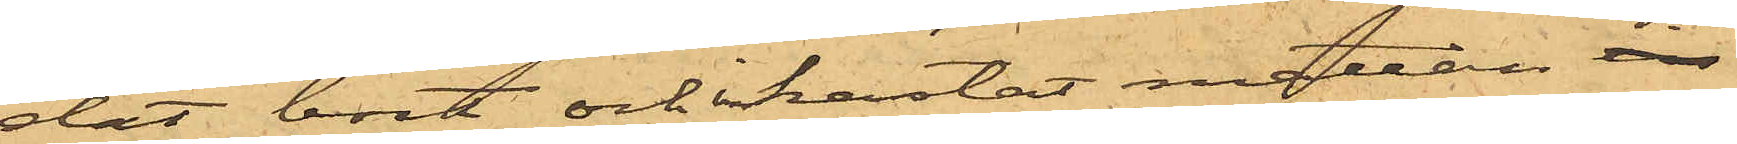dat bort och inkastat mattan in
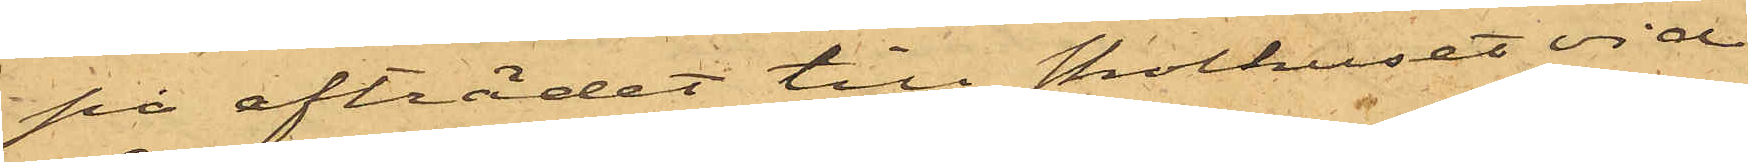på afträdet till Skolhuset vid
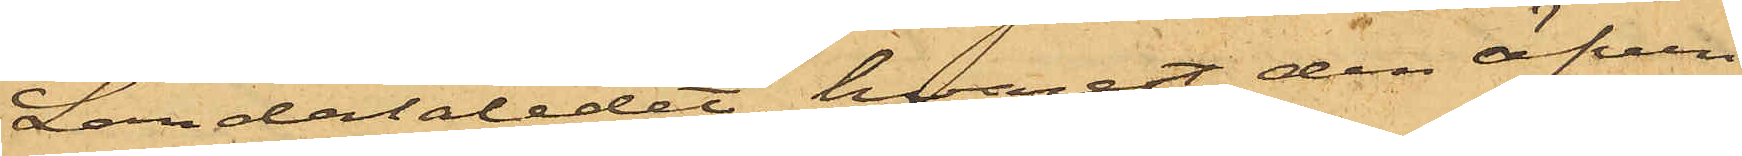Landalaledet, hvarest den äfven
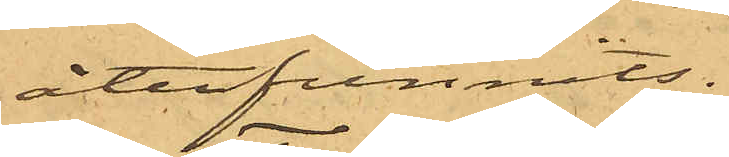återfunnits.
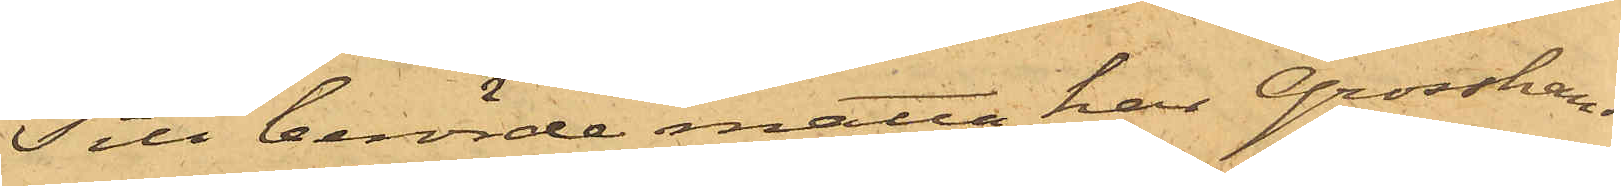Till berörde matta har Grosshand¬
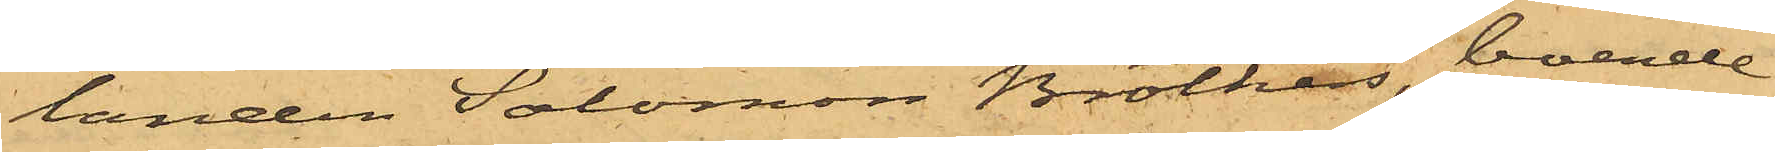landen Salomon Brothers, boende
